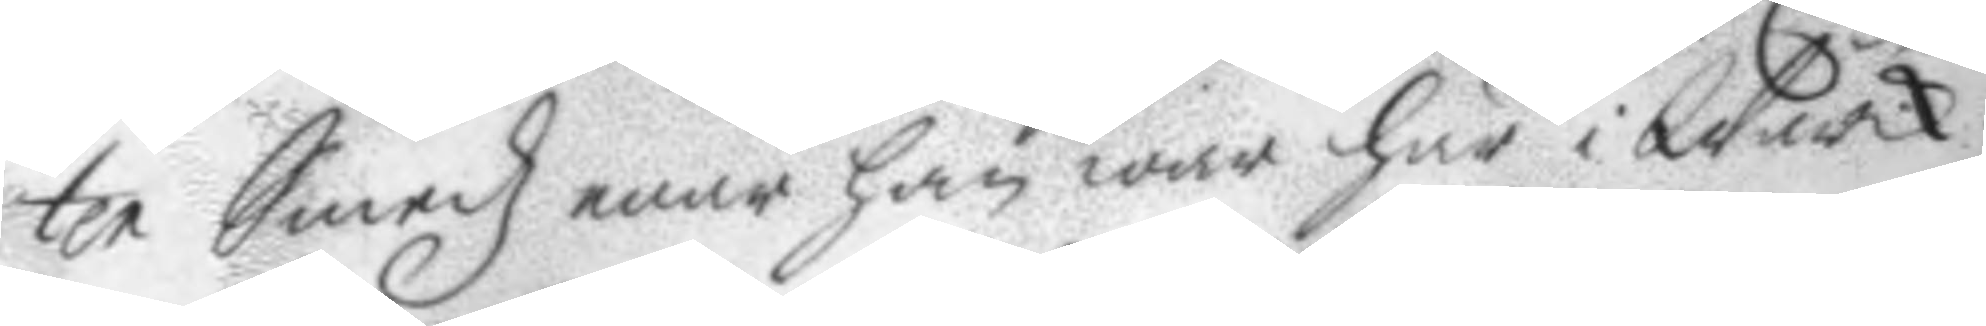ter Smedz enär han war här i Wärck¬
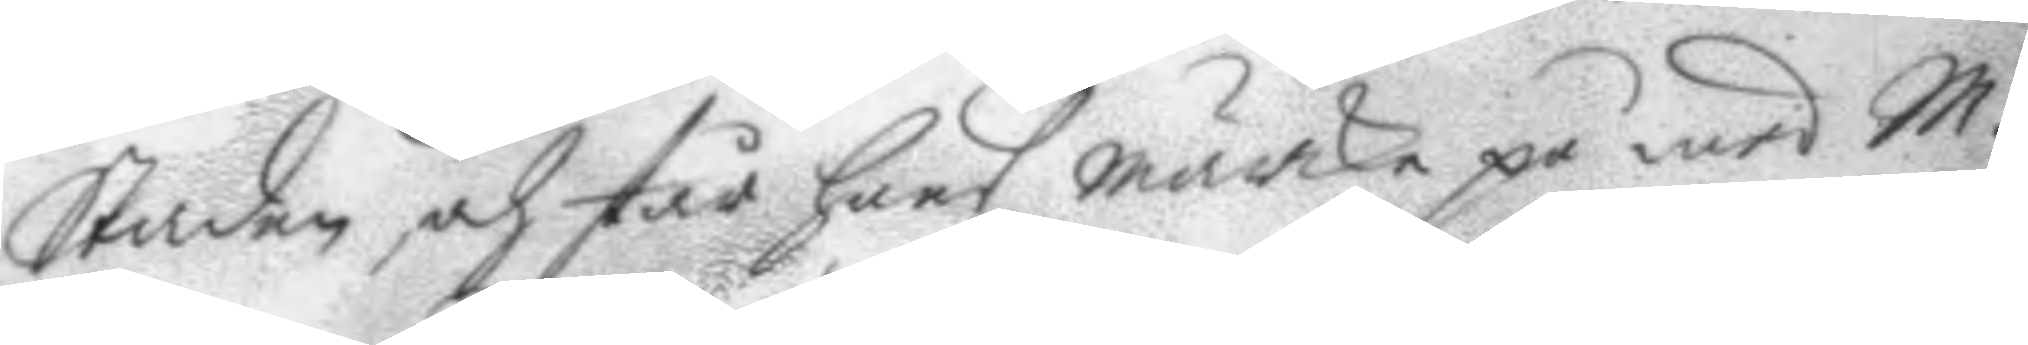Staden och står hans märcke på wid M.
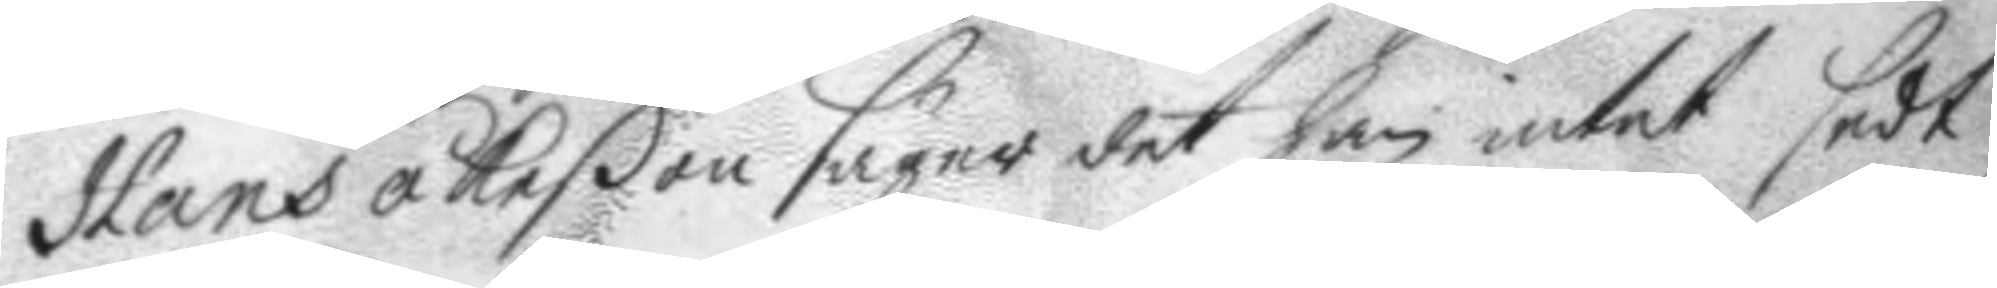Hans åkeßon säger det han intet sedt
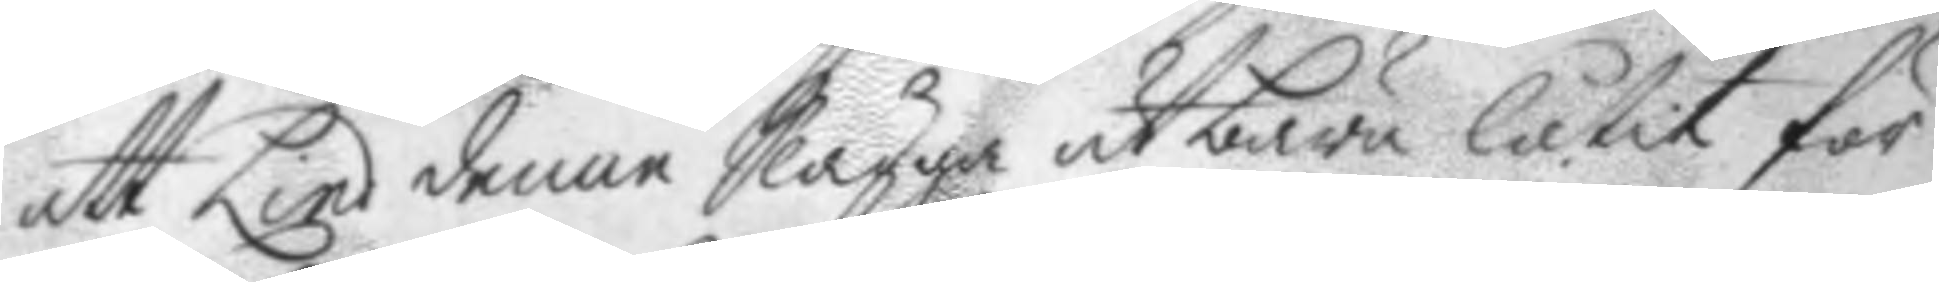att Linde denne Slägga utbära låtir dör
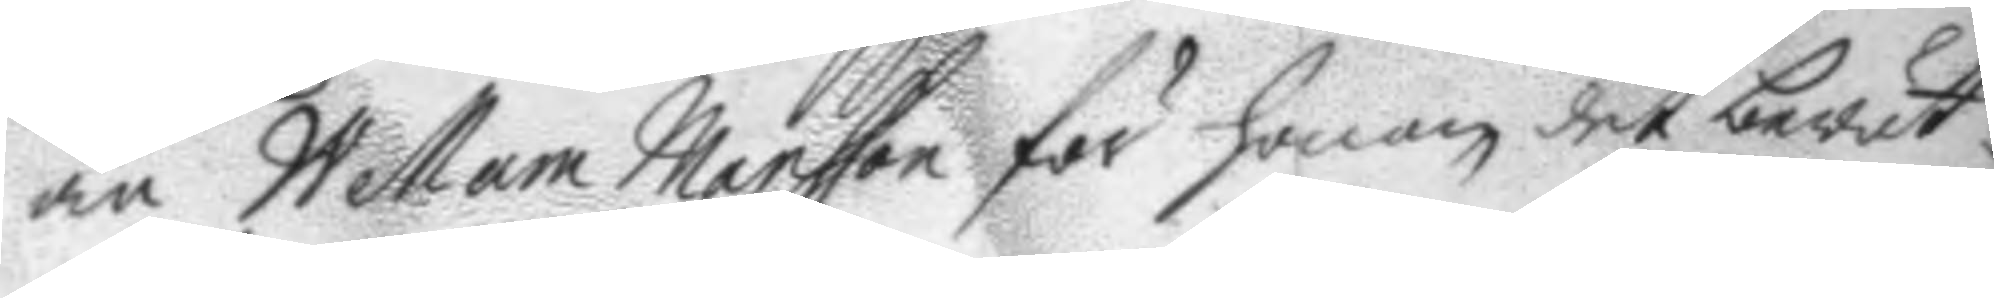än Wellam Mansson för honom det berät¬
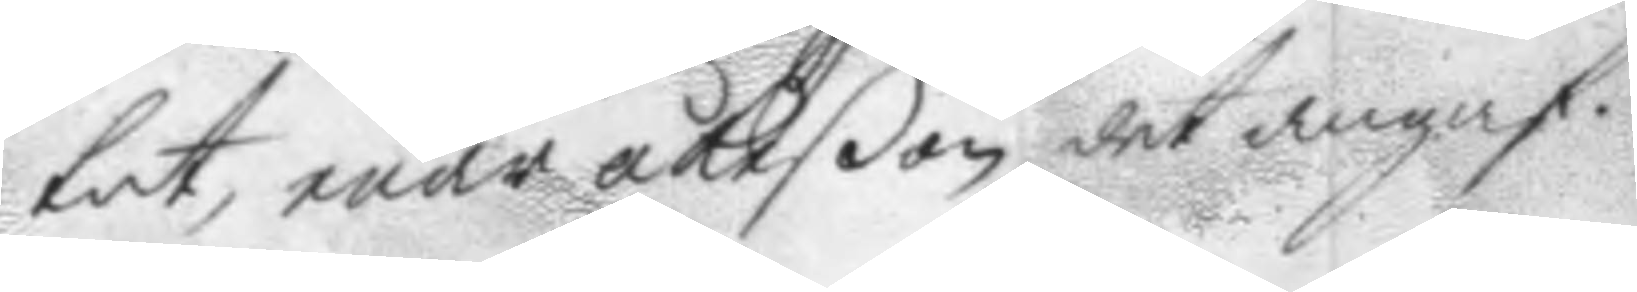tat, enär åkeßon det angaf.
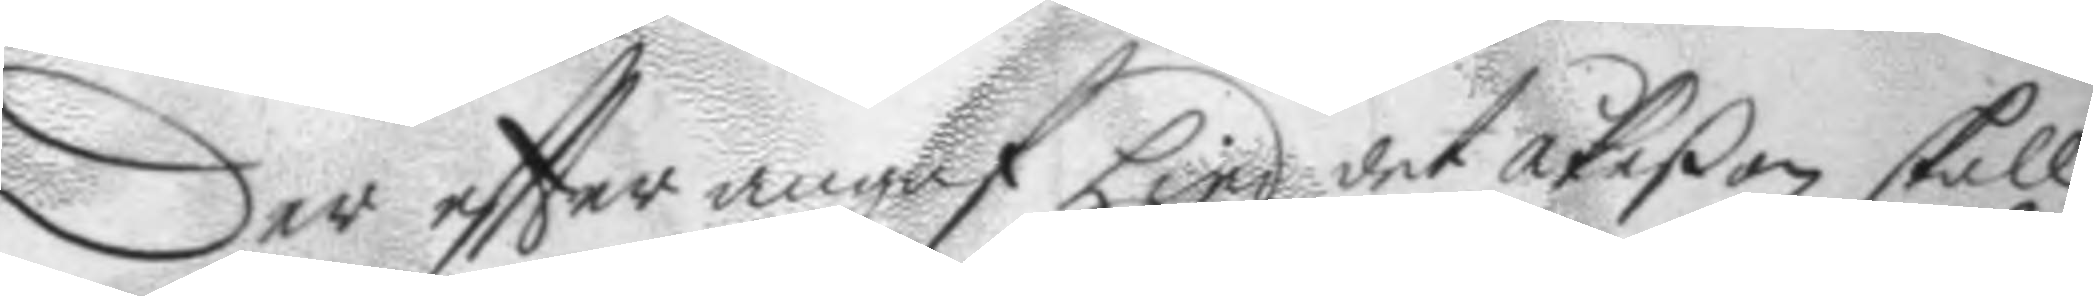Der eftter angaf Lind det åkeßon skall
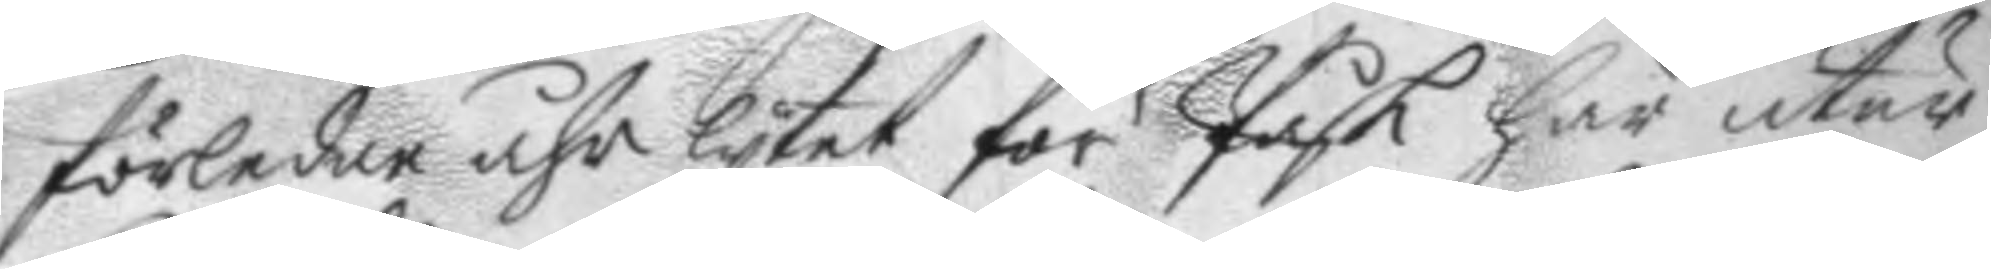förledne åhr lytet för Påsk här utur
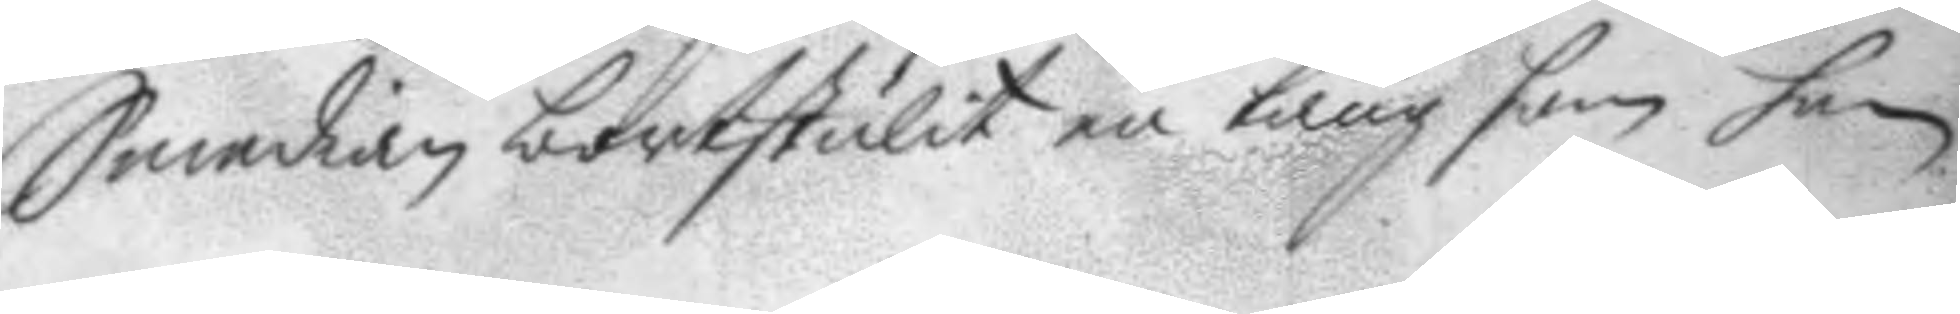Smedian bortstulit en tång som han
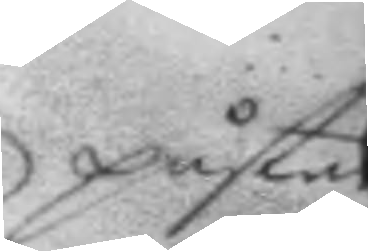påstår
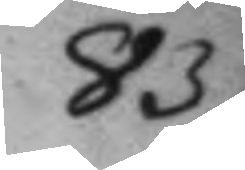83.
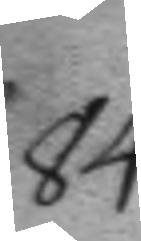84.
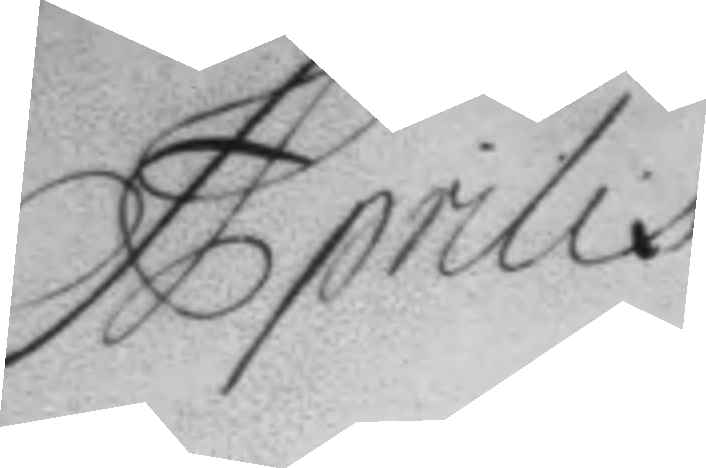Aprilis
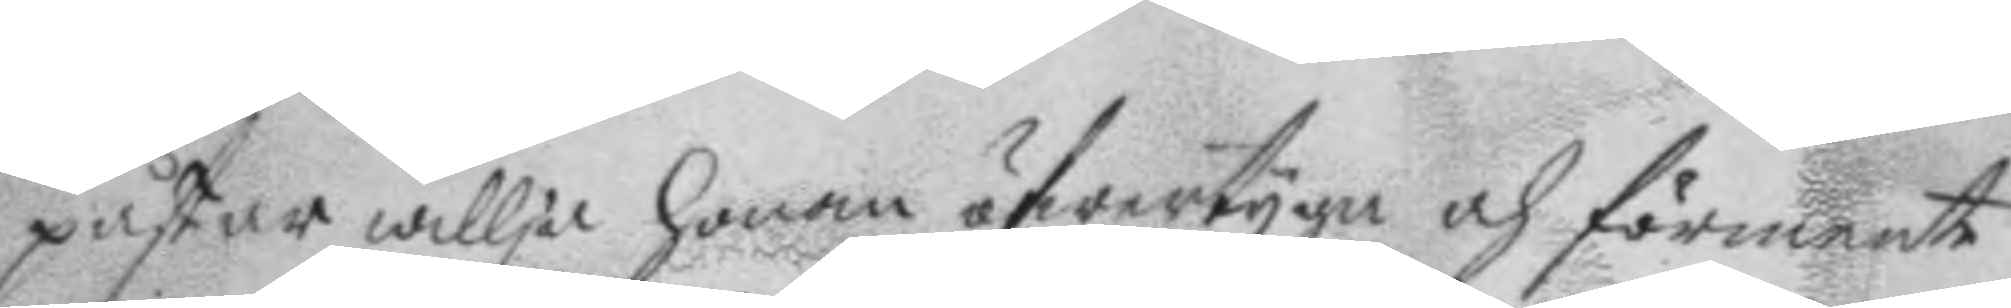påstår willja honom öfwertyga och förmente
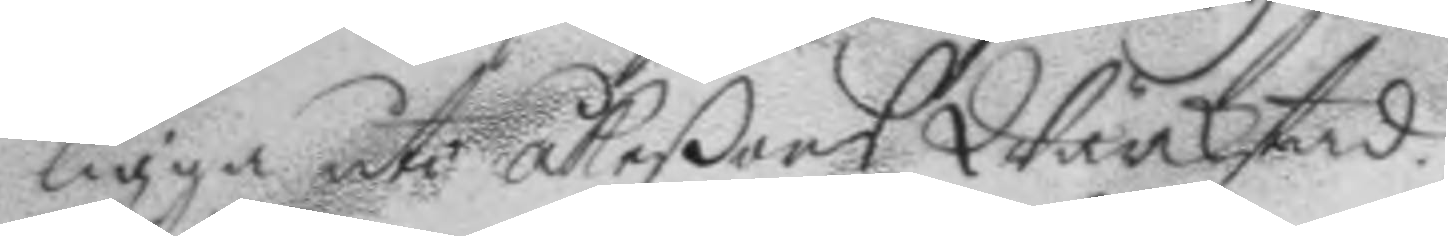ligga uti åkeßons Wärckstad.
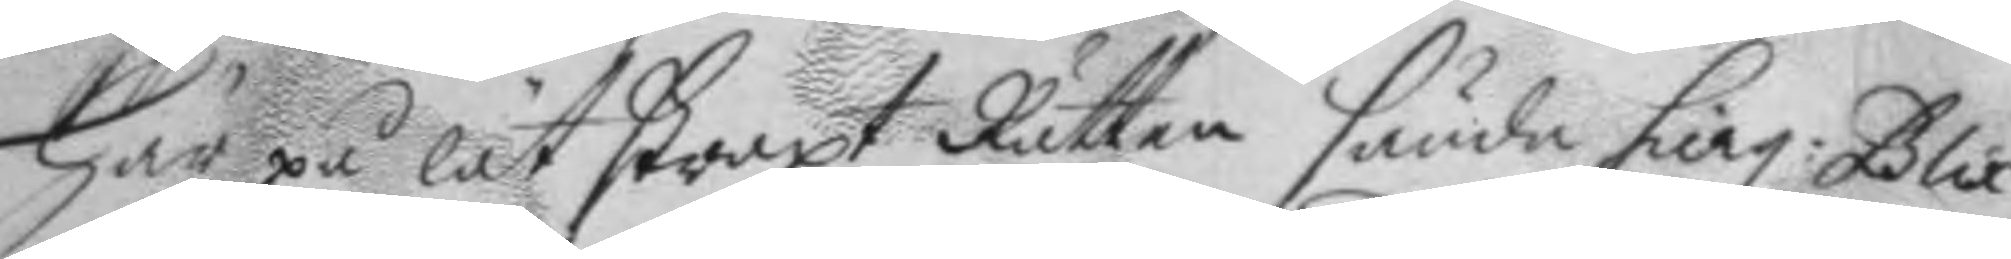Här på lät straxt Rätten sända sierg. Blix¬
